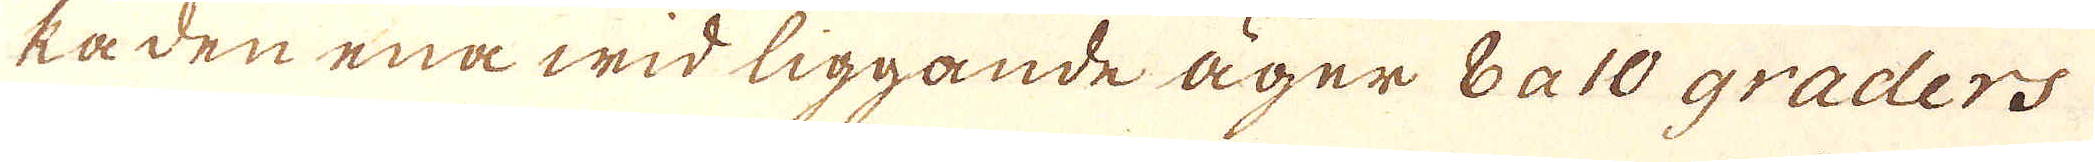ka den ena wid liggande äger 8 a 10 graders
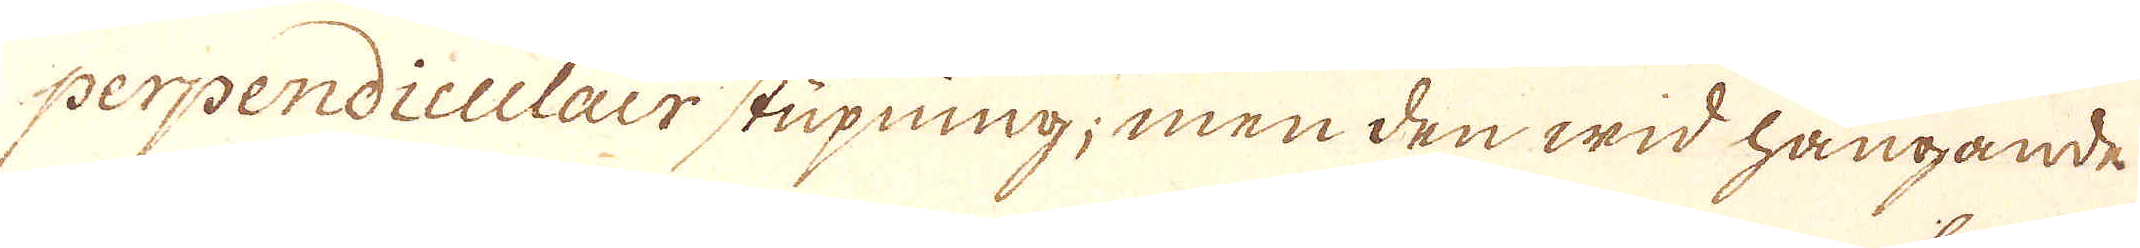perpendiculair stupning; men den wid hängande
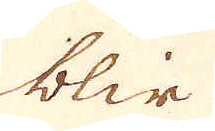blir
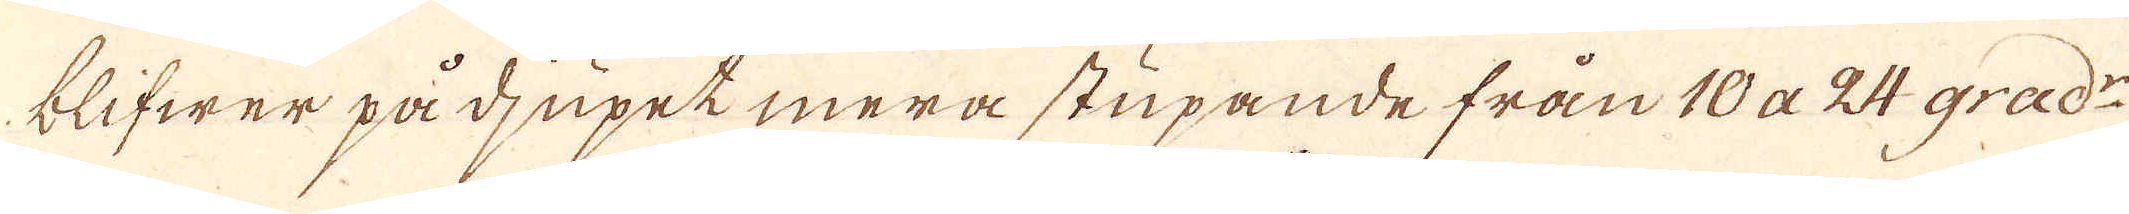blifwer på djupet mera stupande från 10 a 24 grad:r
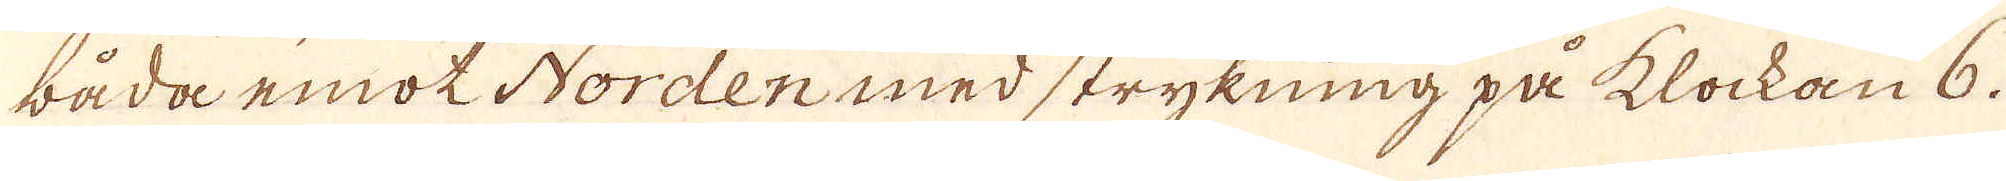båda emot Norden med strykning på klockan 6.
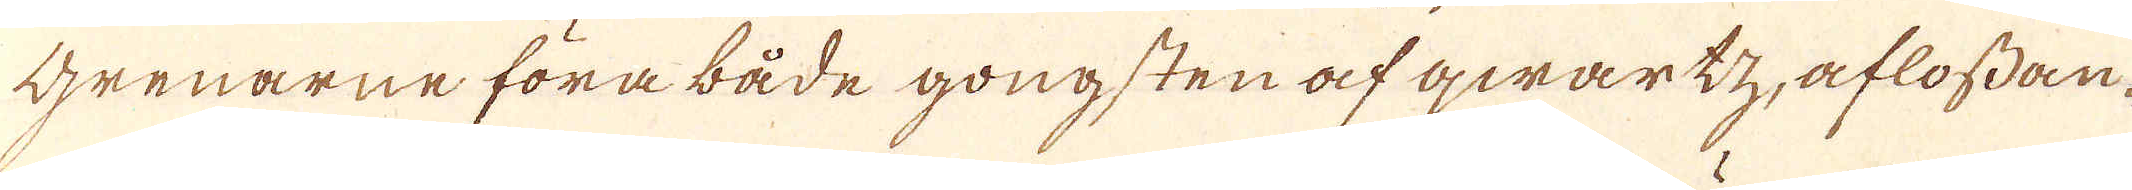grenarne föra både gongsten af qwartz, aflossan-
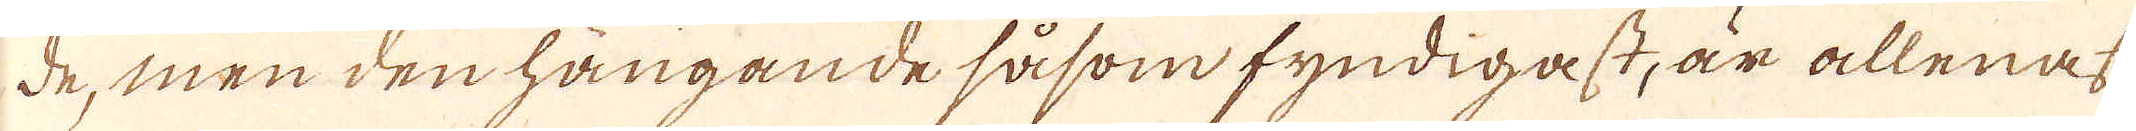de, men den hängande såsom fyndigast, är allenast
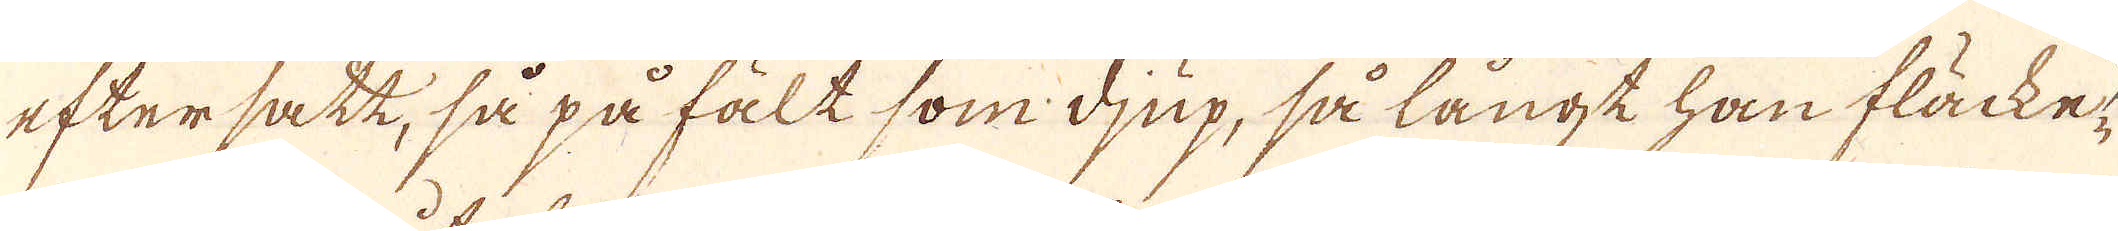eftersatt, så på fält som djup, så långt han fläcke-
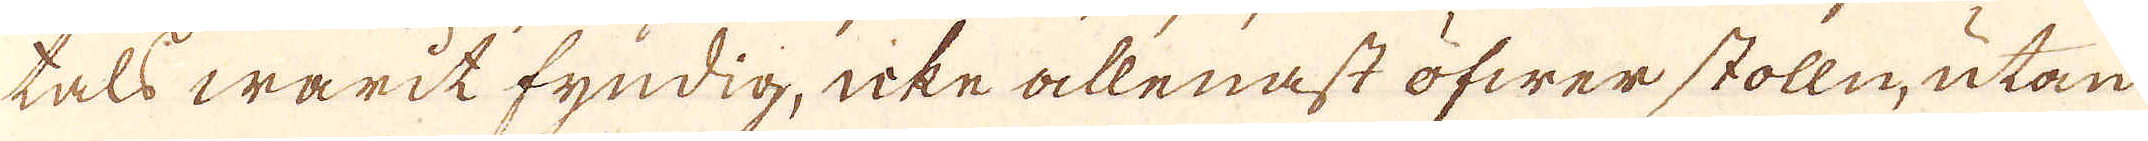tals warit fyndig, icke allenast öfwer stolln, utan
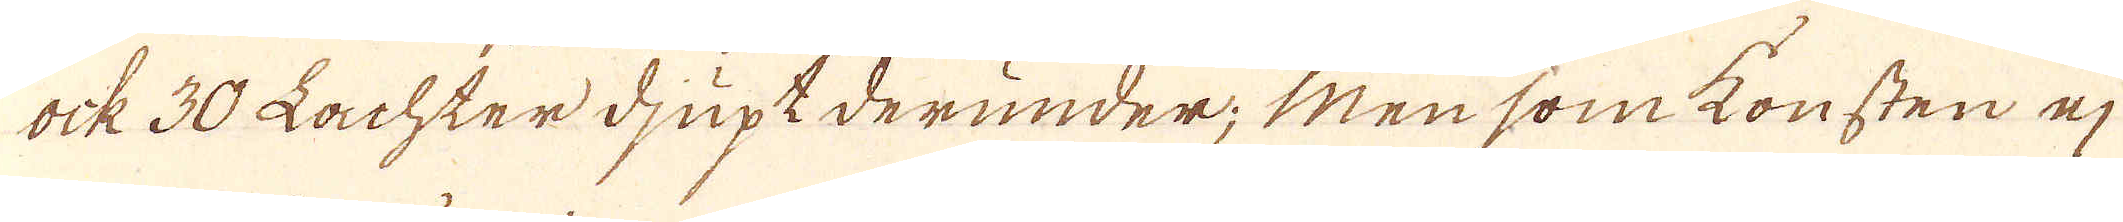ock 30 Lachter djupt derunder; Men som konsten ej
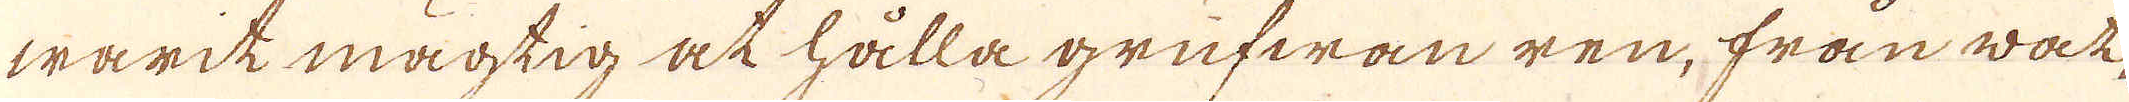warik mägtig at hålla grufwan ren, från wat-
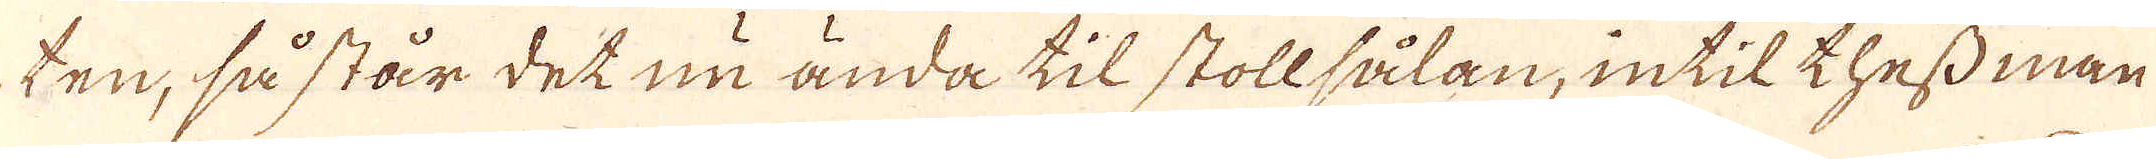ten, så står det nu ända til stollsålan, intil thess man
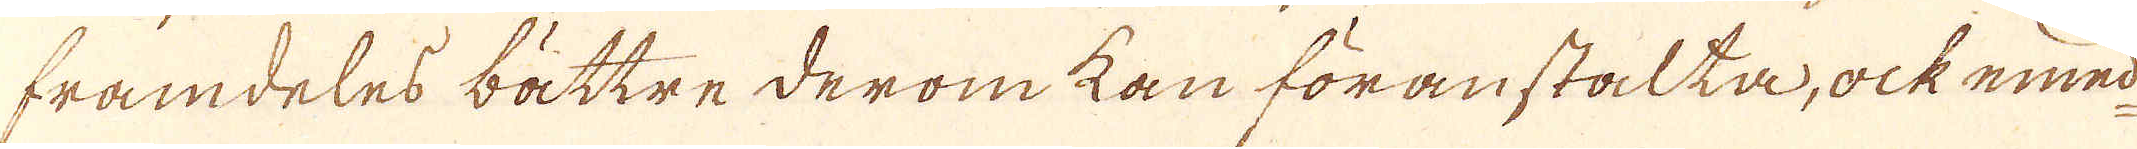framdeles bättre derom kan föranstalta, ock emel-
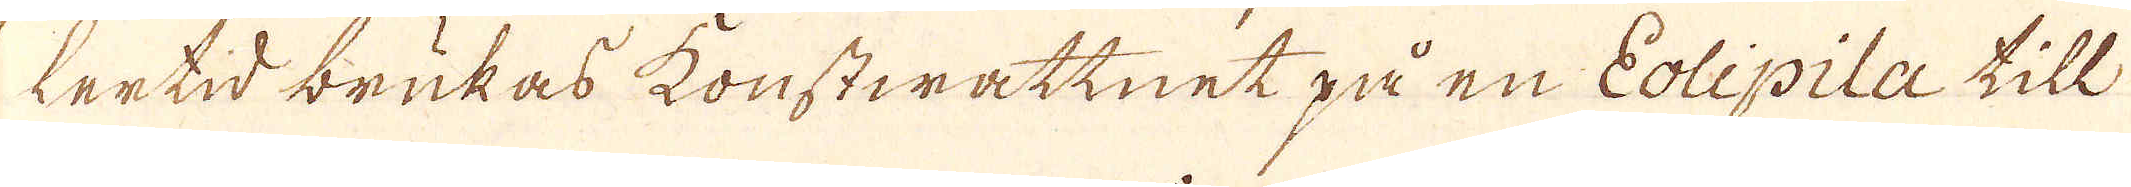lertid brukas konstwattnet på en Eolipila till
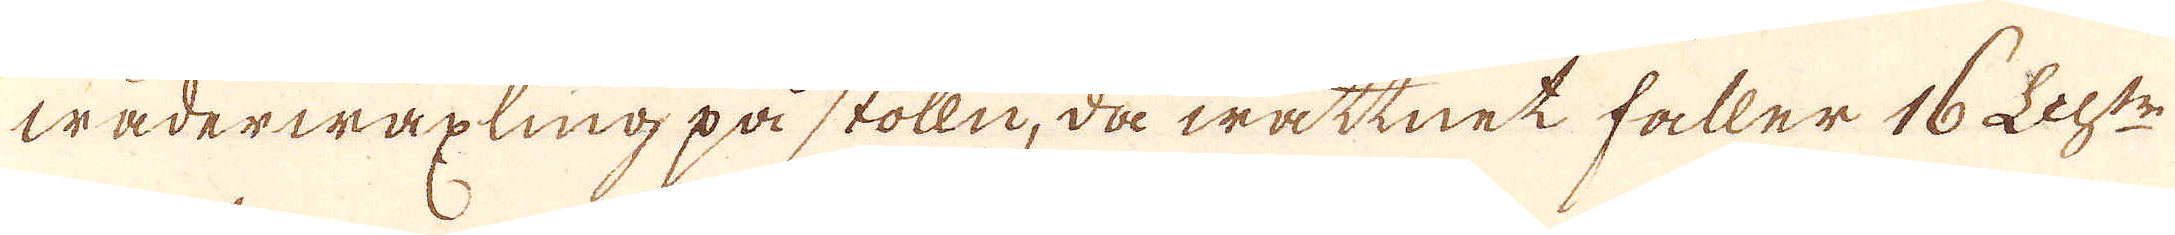waderwäxling på stolln, då wattnet håller 16 Lact:r
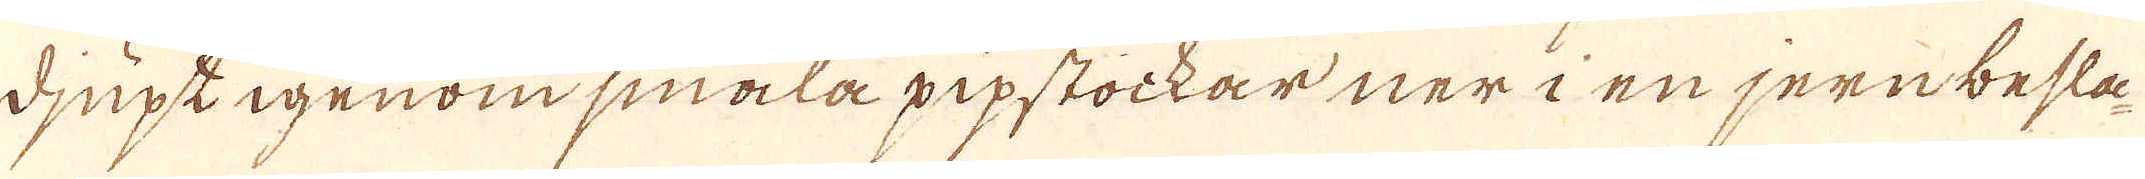djupt igenom smala pipstockar ner i en jernbesla-
